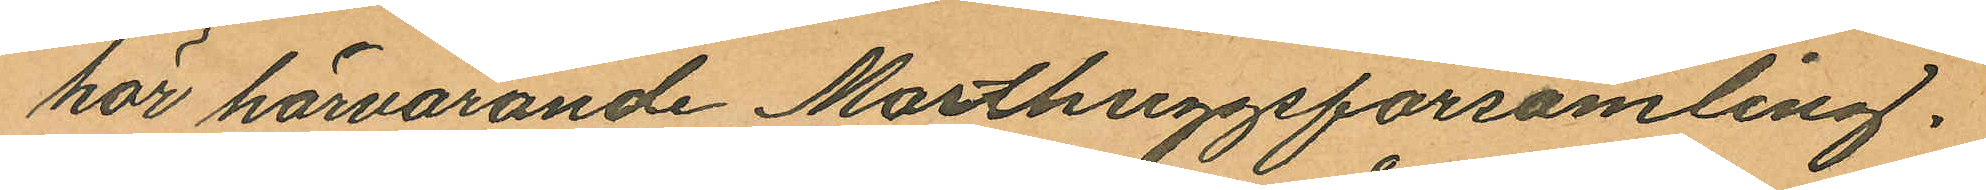hör härvarande Masthuggsförsamling.
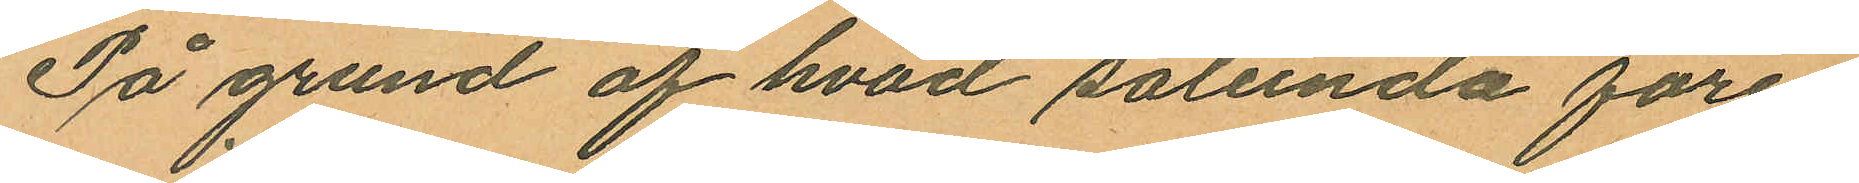På grund af hvad sålunda före¬
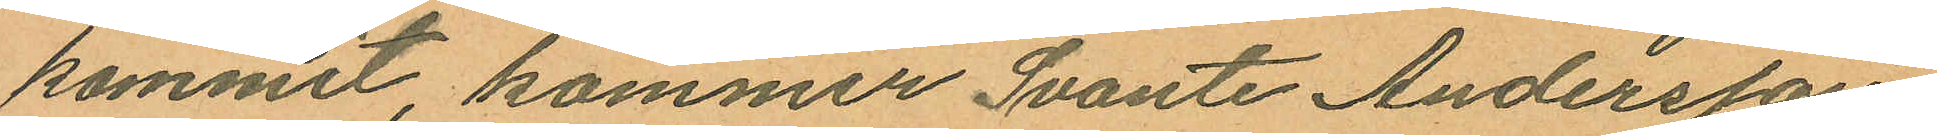kommit, kommer Svante Andersson
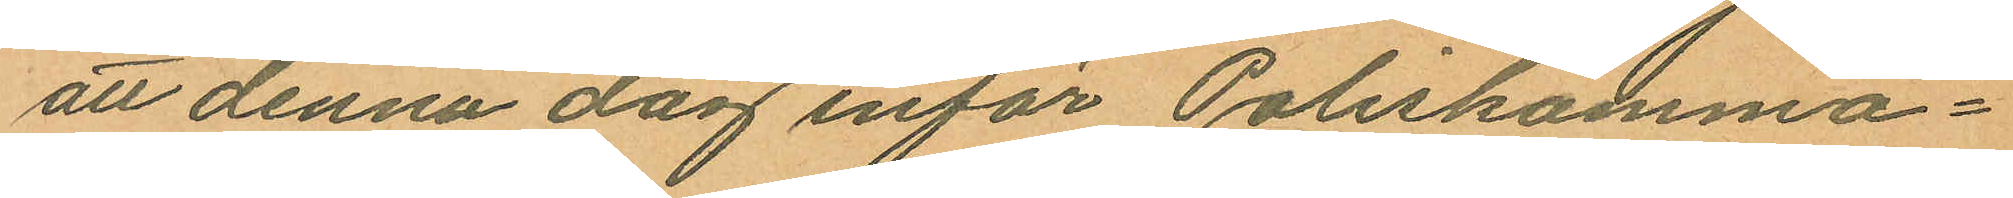att denna dag inför Poliskamma¬
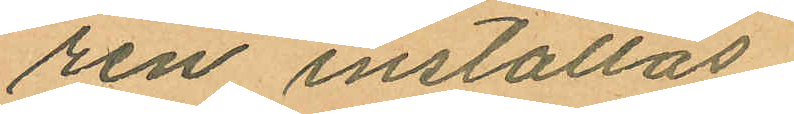ren inställas.
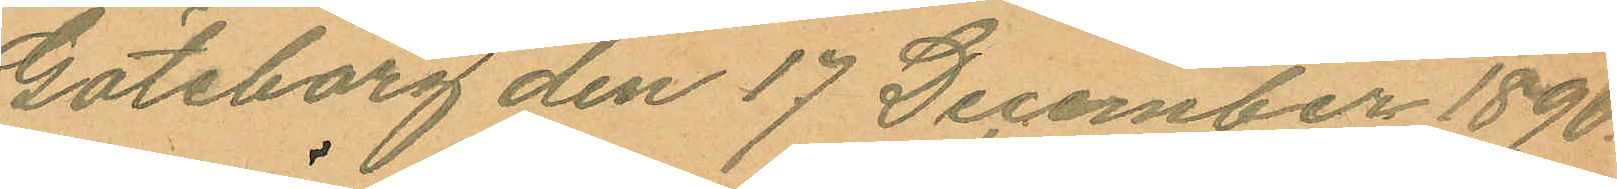Göteborg den 17 December 1890
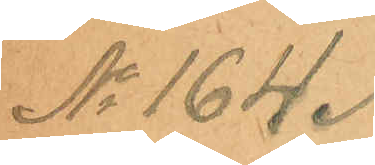No 164.
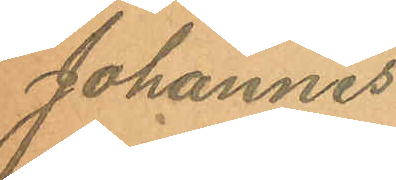Johannes
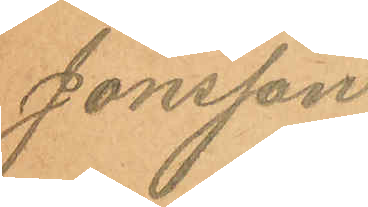Jonsson.
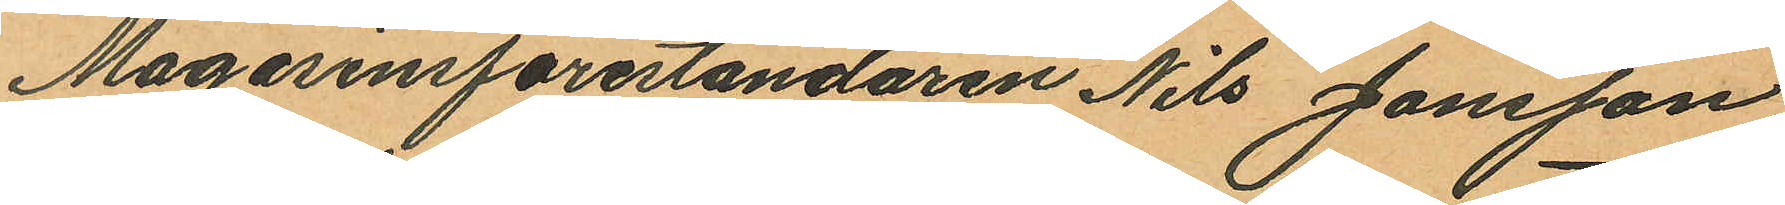Magasinsföreståndaren Nils Jönsson,
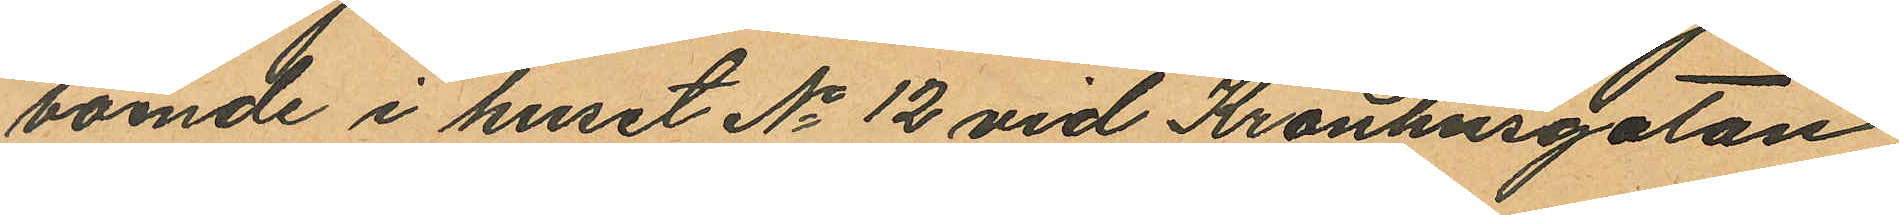boende i huset No 12 vid Kronhusgatan
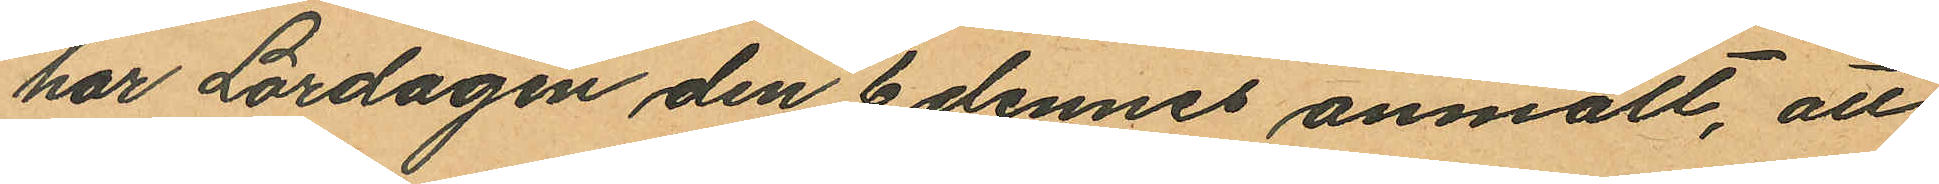har Lördagen den 6 dennes anmält, att
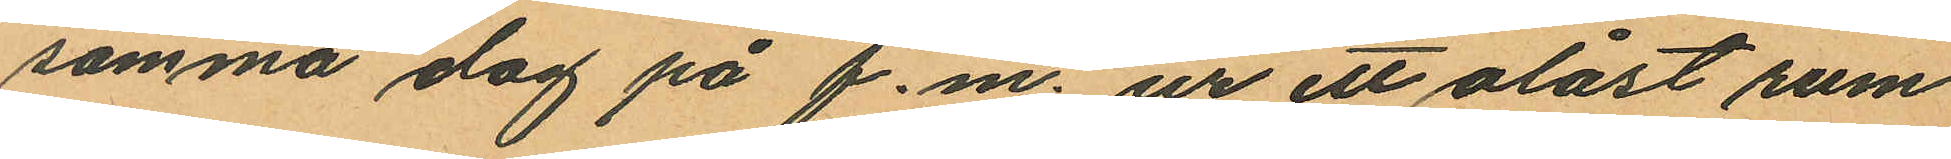samma dag på f.m. ur ett olåst rum
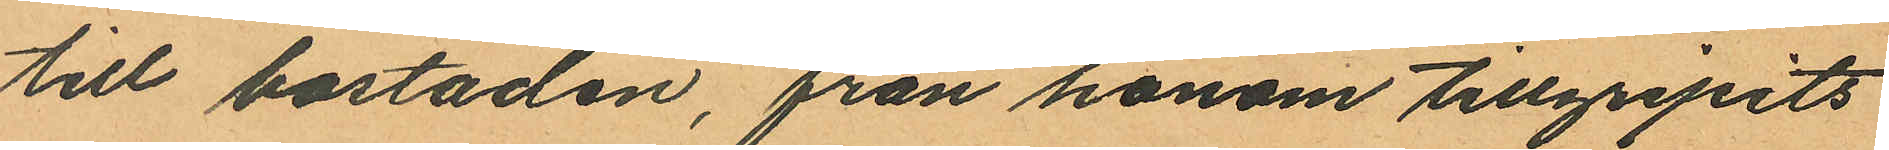till bostaden, från honom tillgripits
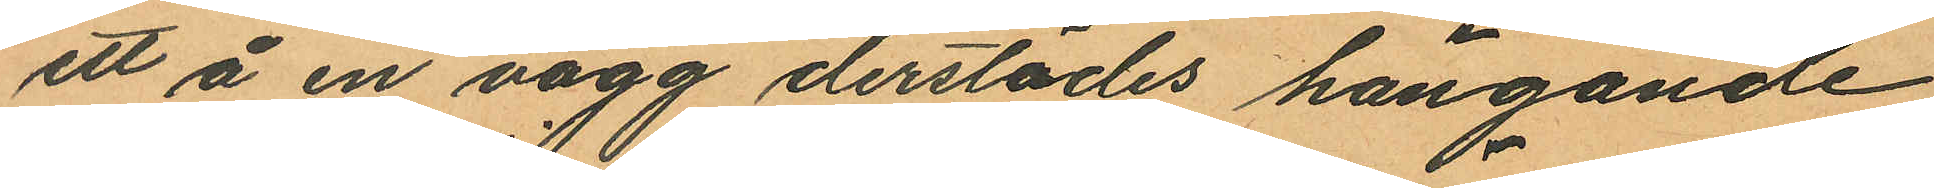ett å en vägg derstädes hängande
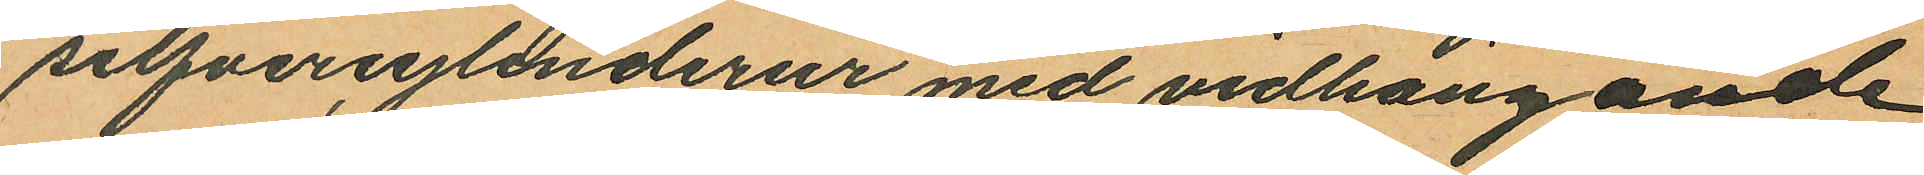silfvercylinderur med vidhängande
